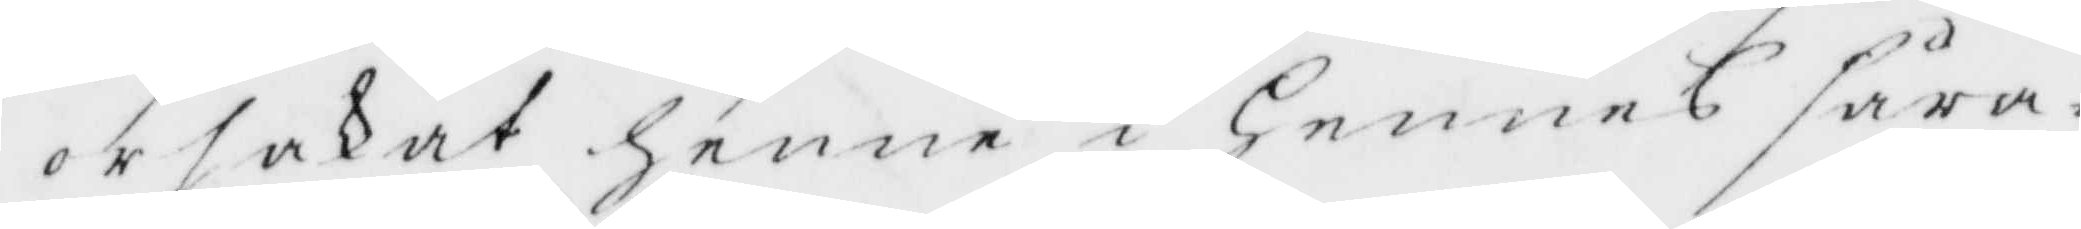orsakat henne i Hennes såra¬
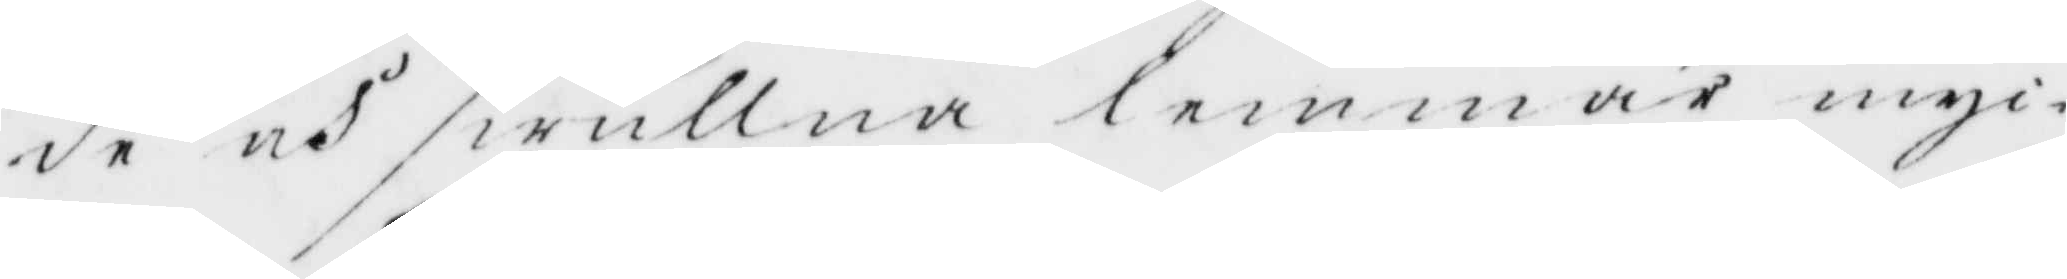de och swullna lemmar myc¬
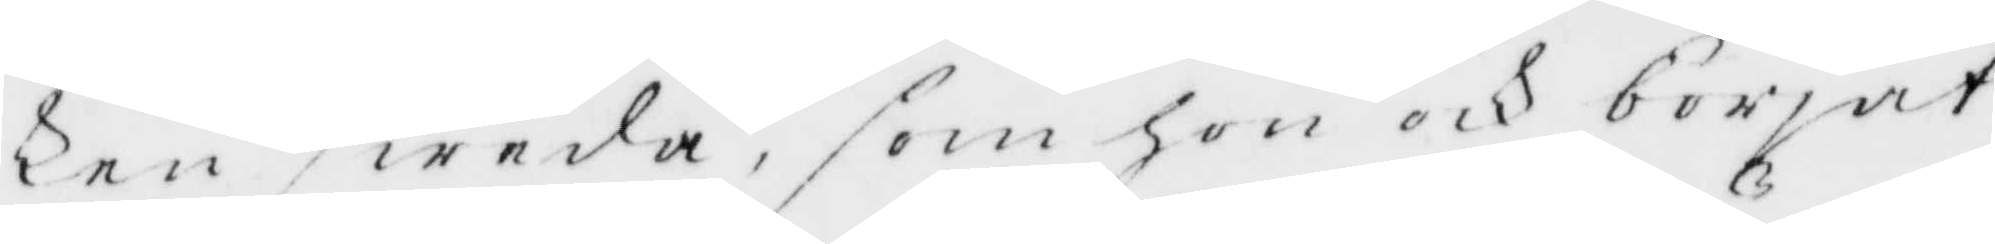ken sweda, som hon och borjat
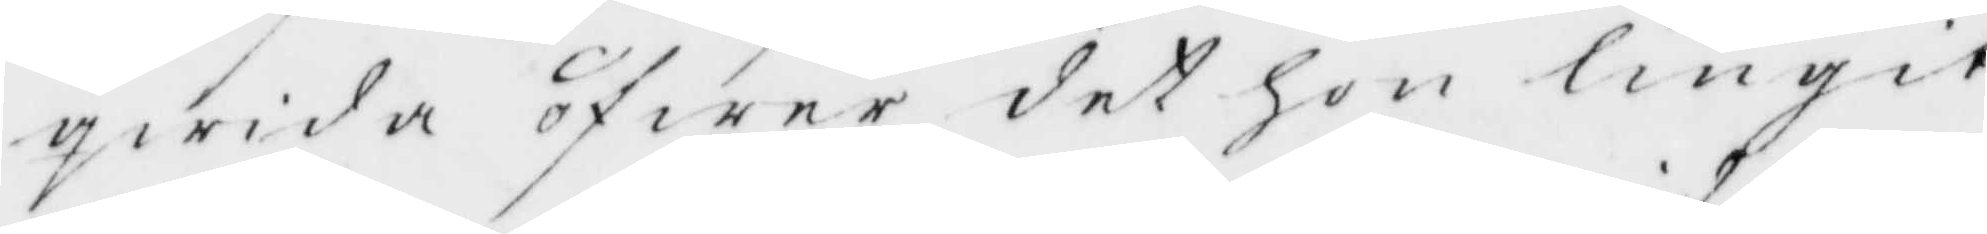qwida öfwer det hon liugit
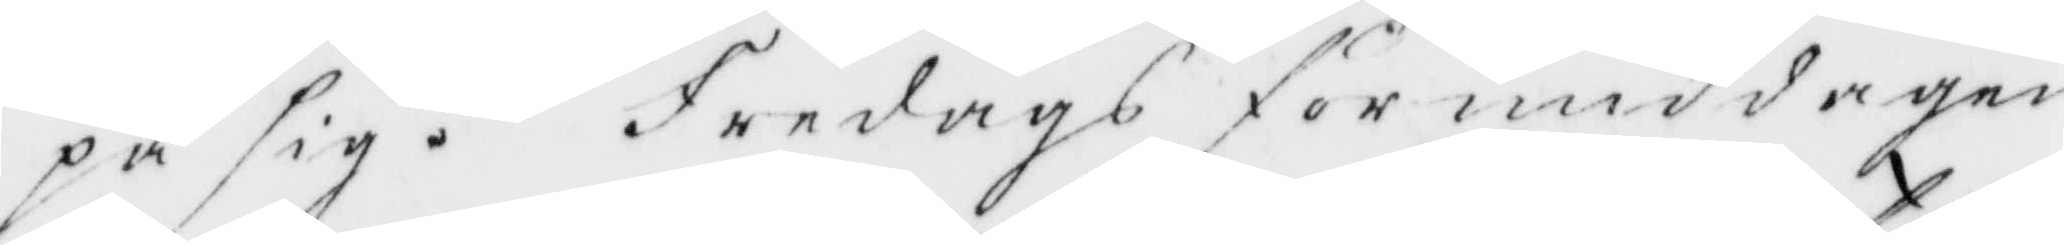på sig. Fredags förmiddagen
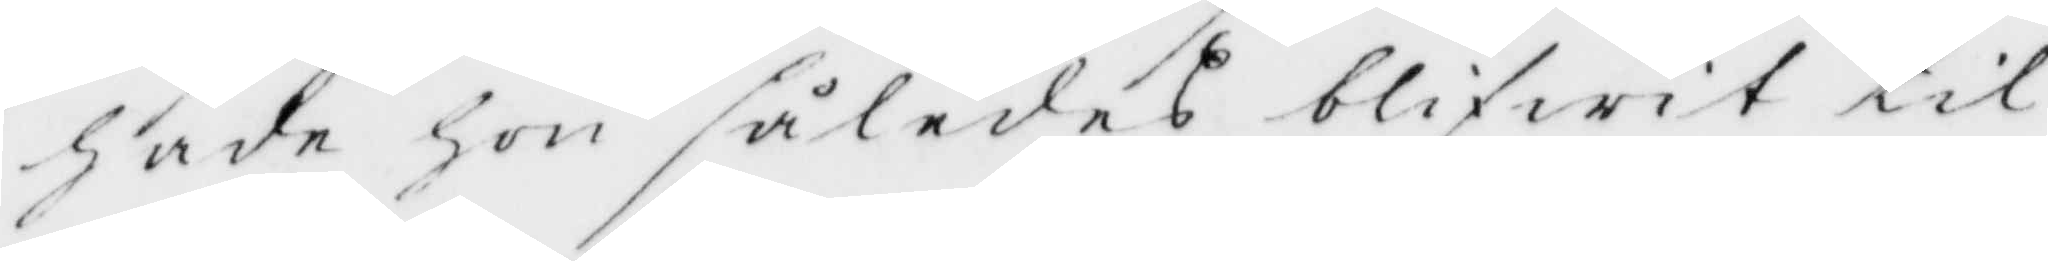hade hon således blifwit til
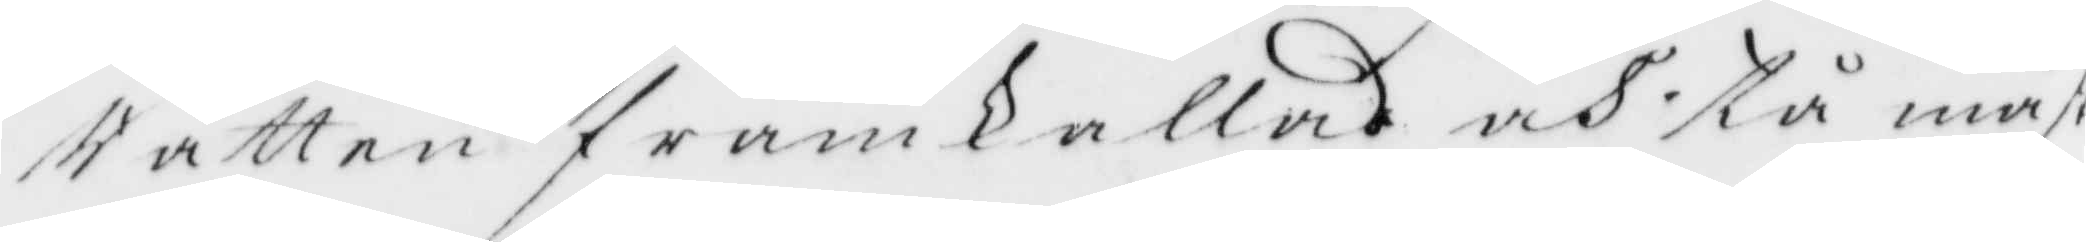Rätten framkallad och tpå måst
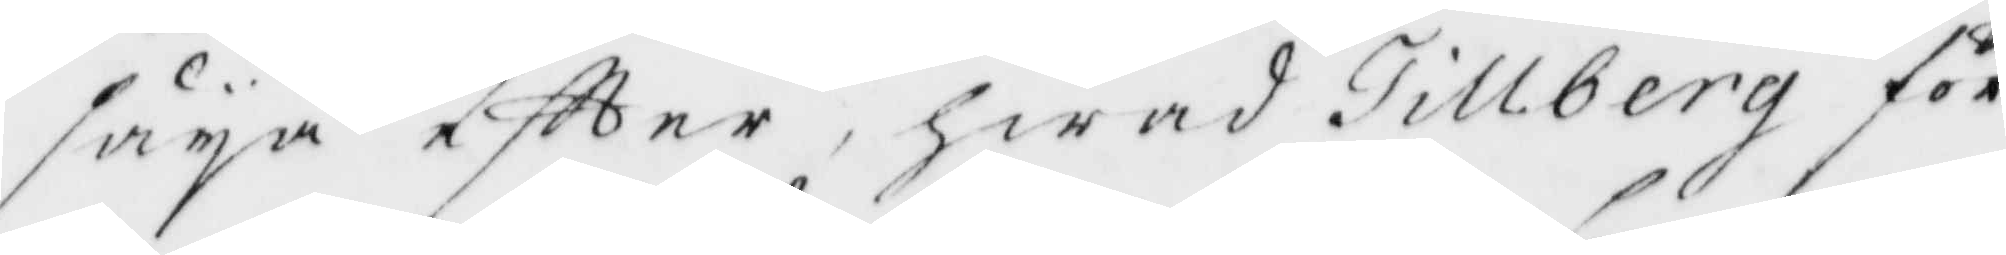säja eftter, hwad Tillberg för
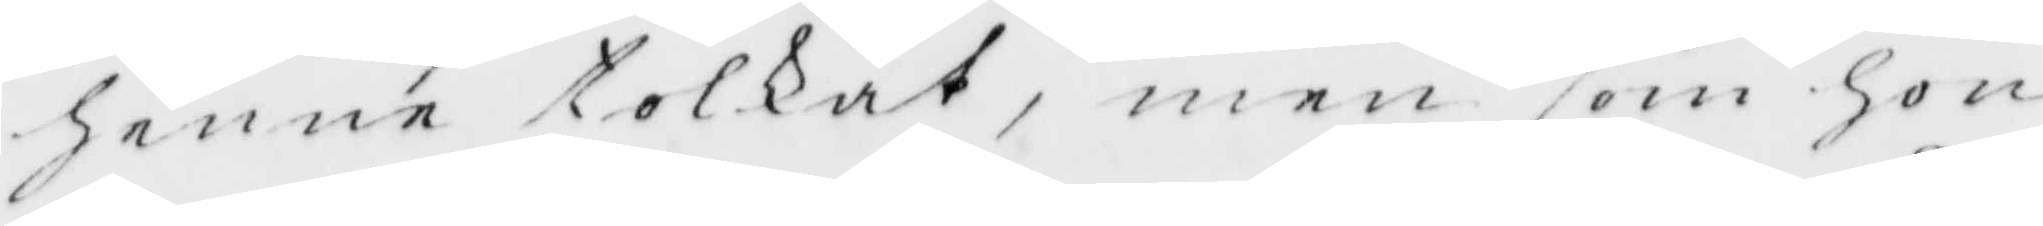henne tolkat, men som hon
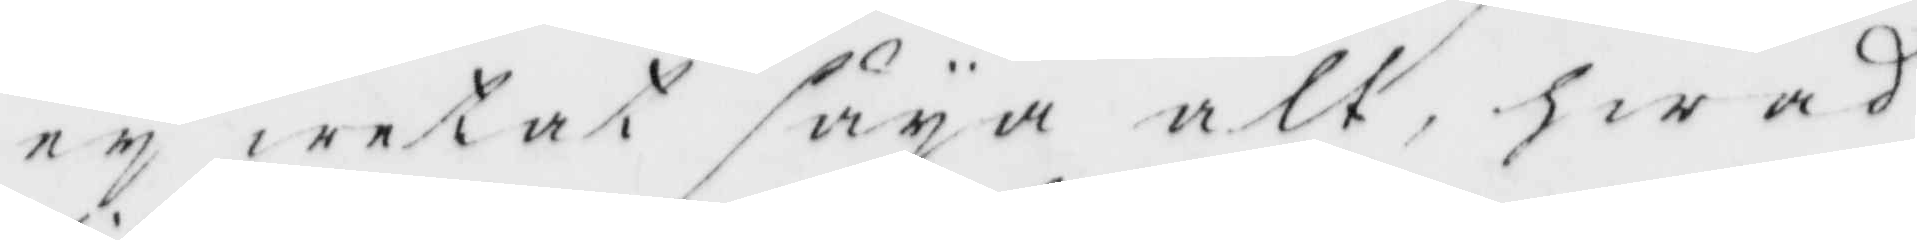ey wetat säja alt, hwad
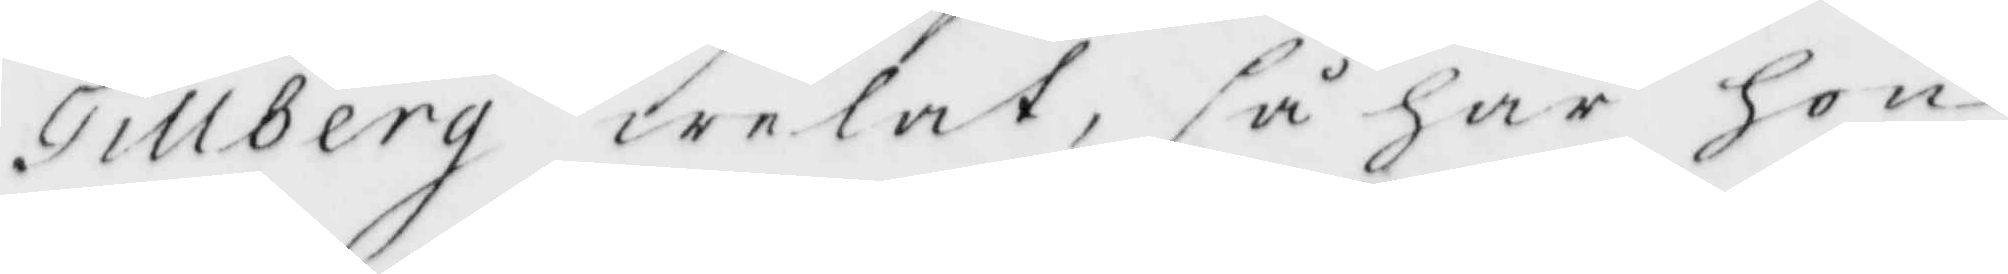Tillberg welat, så har hon
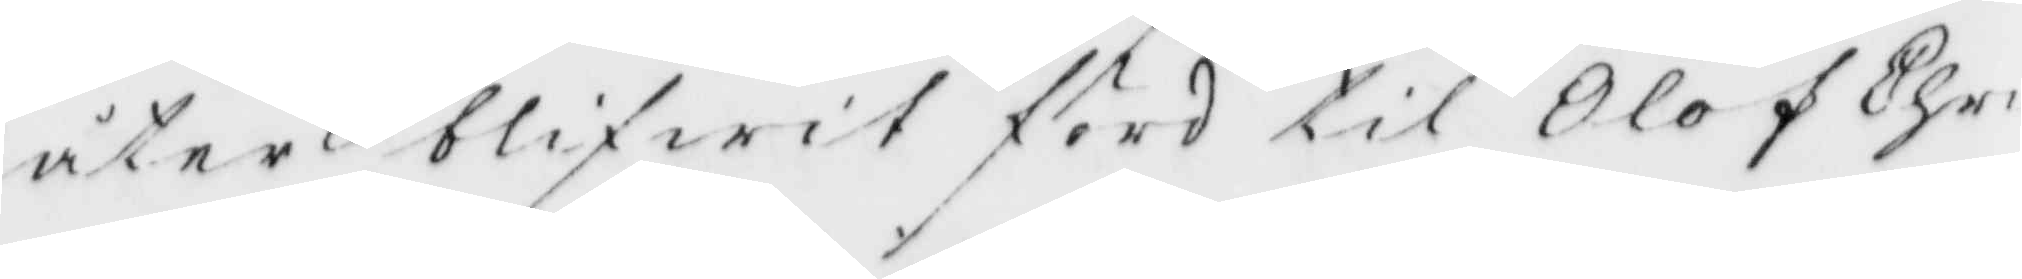åter blifwit förd til Olof Chr¬
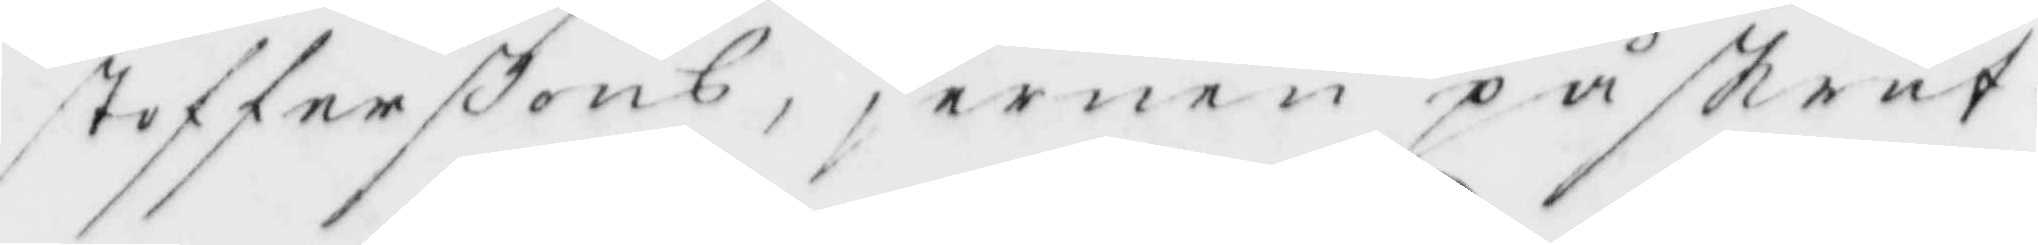stofferßons, jernen påskruf¬
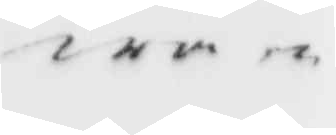wan
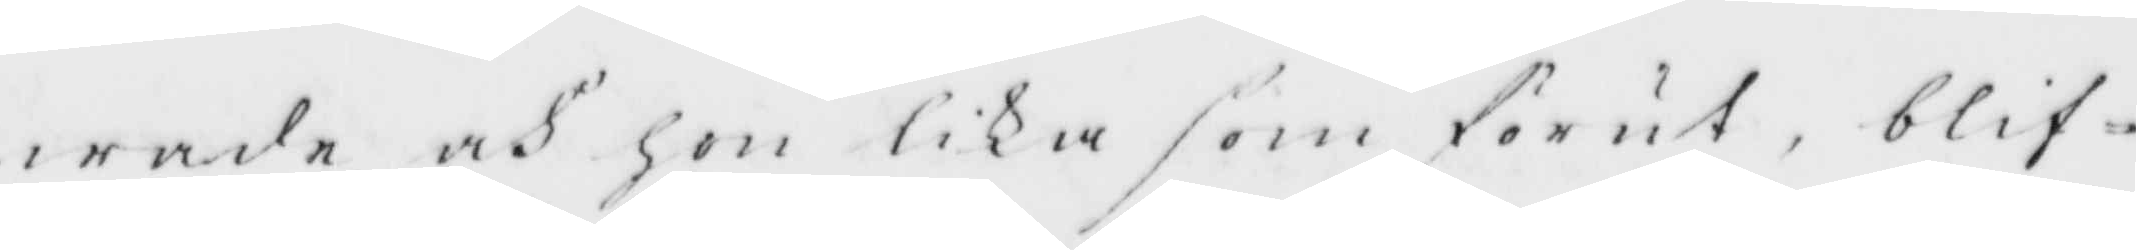warde och hon lika som förut, blif¬
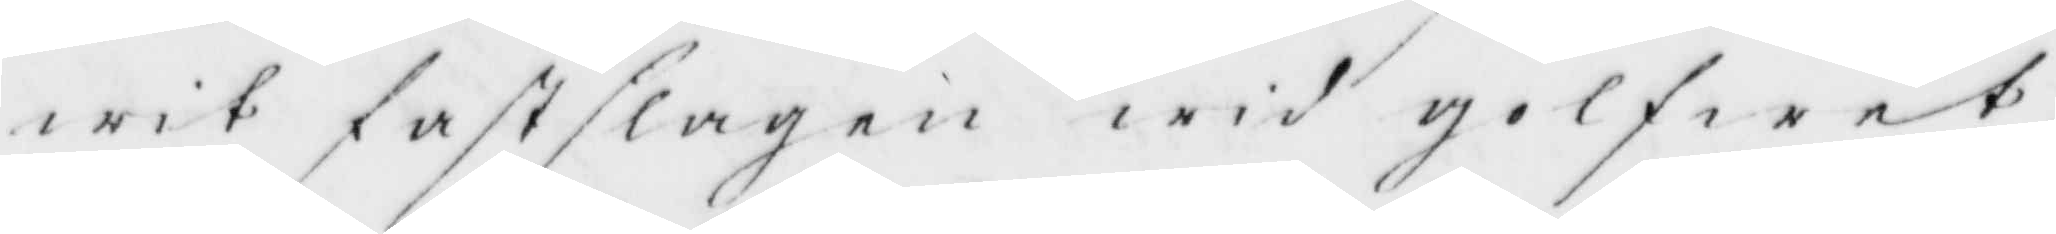wit fastslagen wid golfwet,
